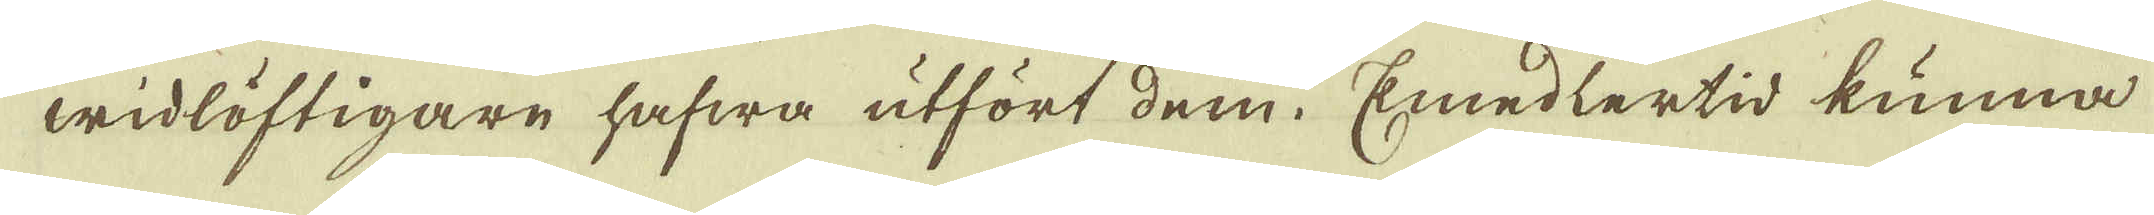widlöftigare hafwa utfört dem. Emedlertid kunna
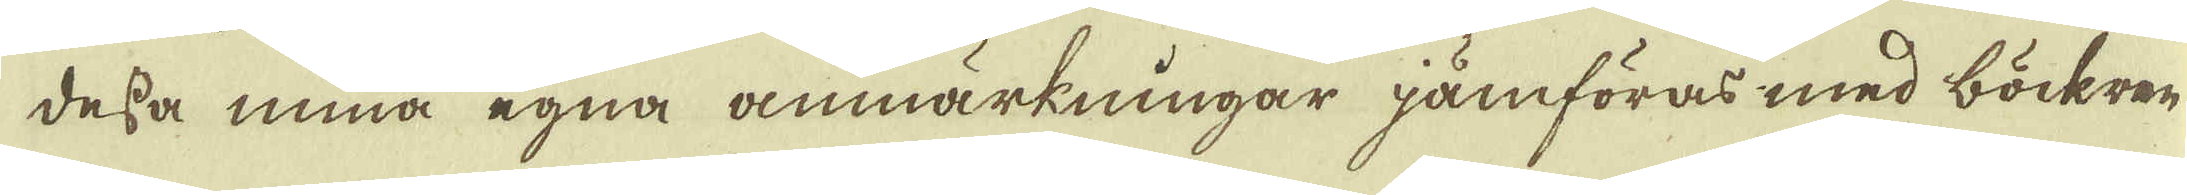dessa mina egna anmärkningar jämföras med böckren,
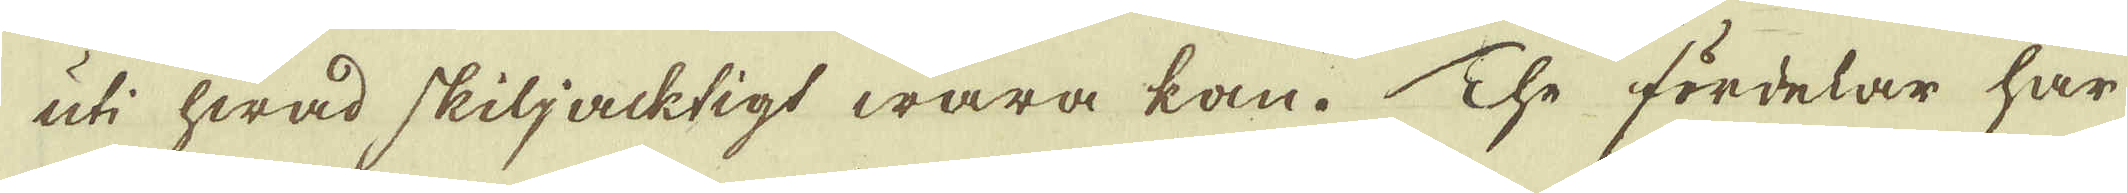uti hwad skiljacktigt wara kan. The fördelar har
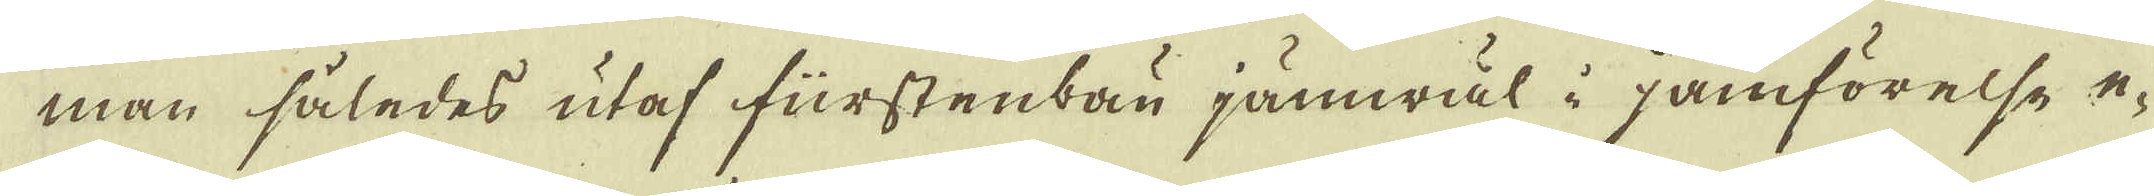man således utaf fürstenbau jämwäl i jämförelse e-
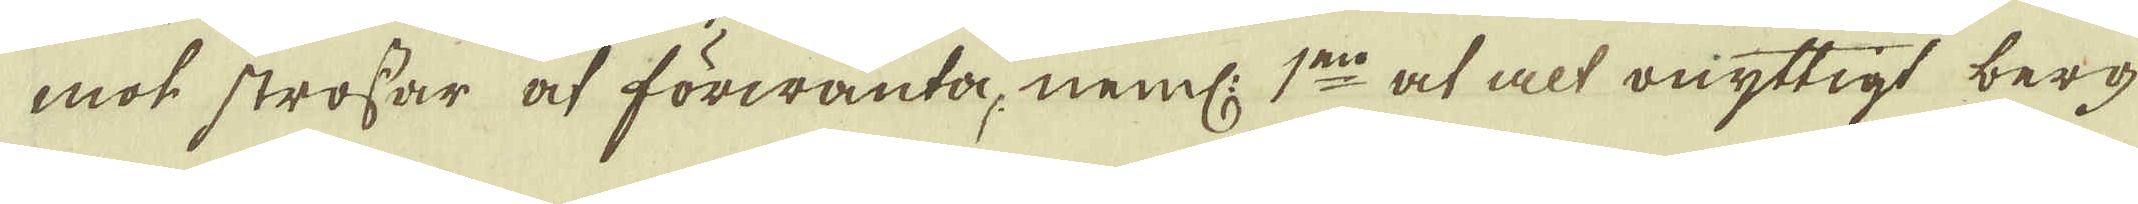mot strossar at förwänta, neml: 1:mo at alt onyttigt berg
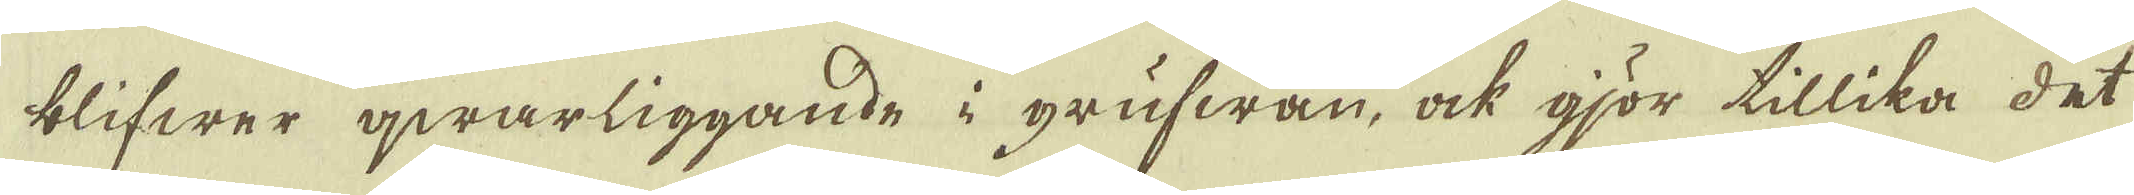blifwer qwarliggande i grufwan, ock gjör tillika det
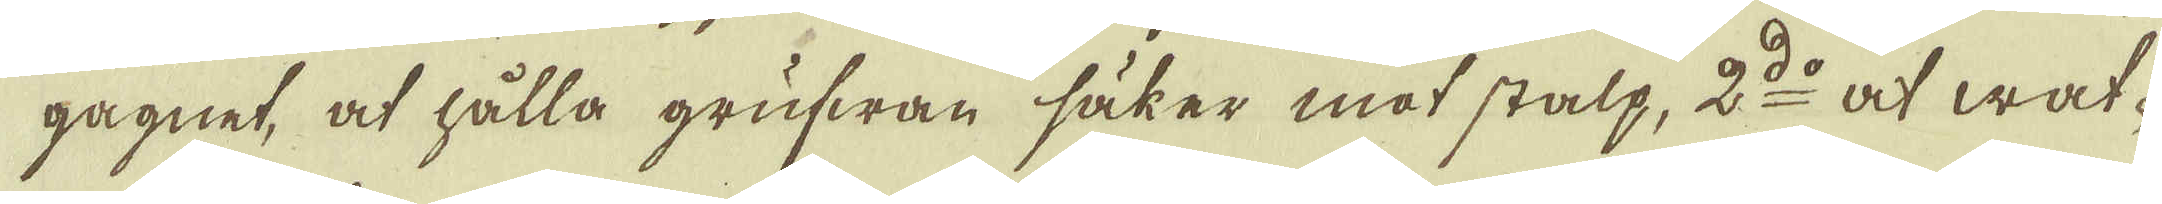gagnet, at hålla grufwan säker mot stalp, 2:do at wat-
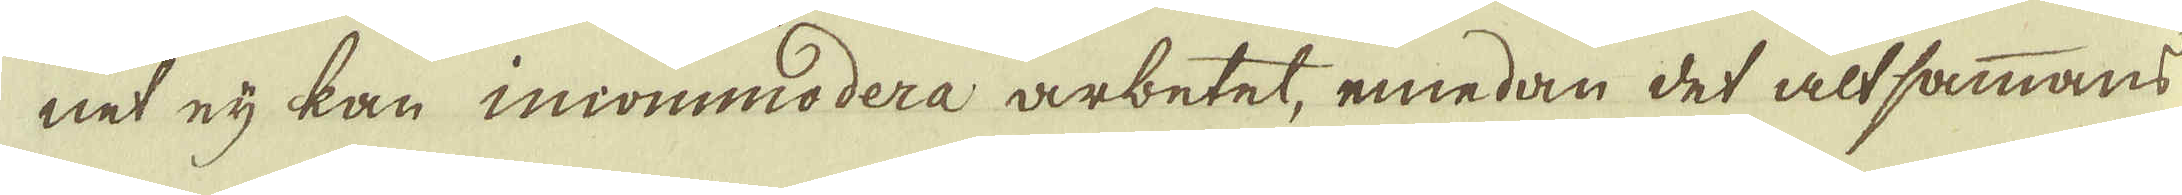net eij kan incommodera arbetet, emedan det altsammans
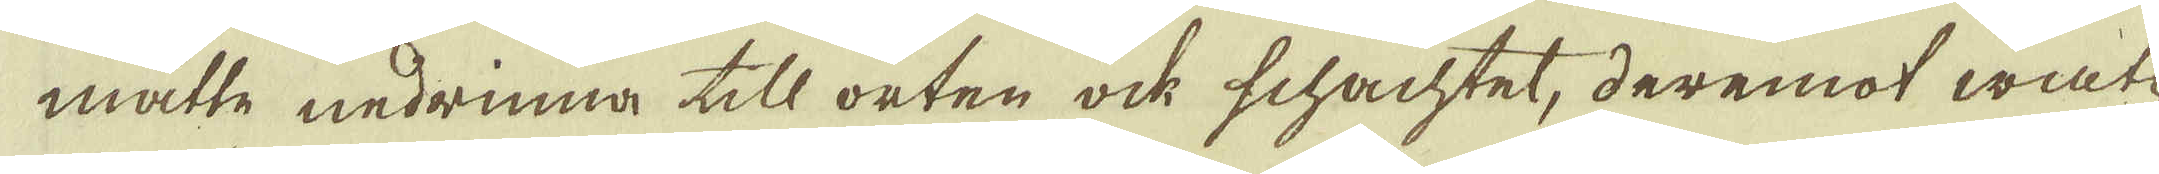måtte nedrinna till orten ock schachtet, deremot wat-
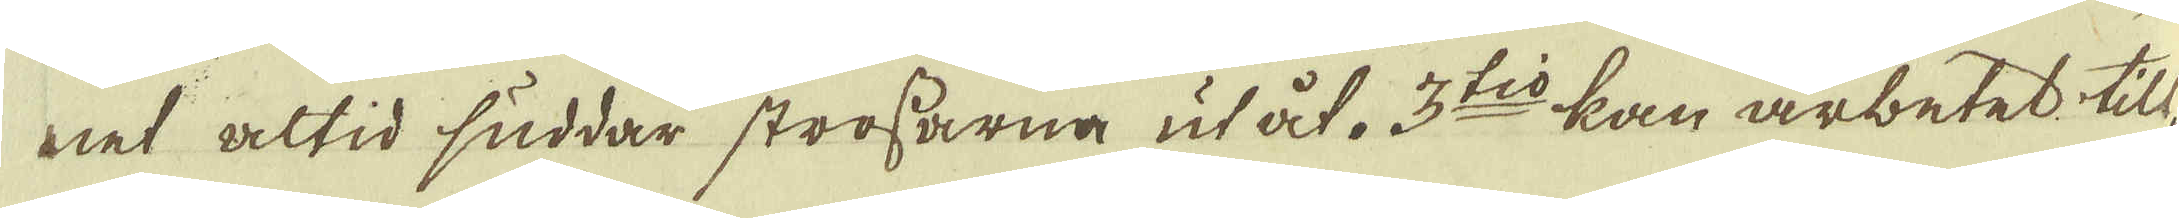net altid suddar strossarna utåt. 3:tio kan arbetet till-
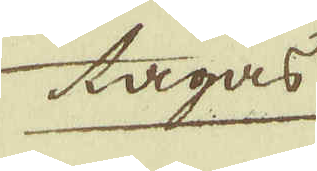tagas
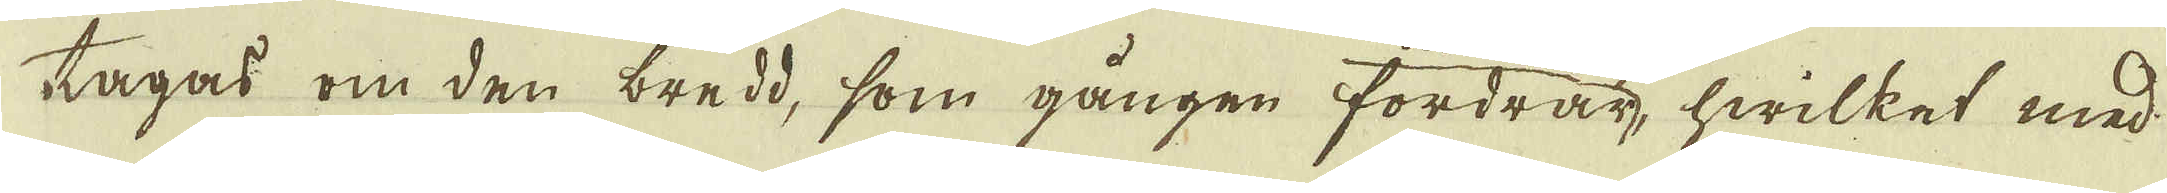tagas om den bredd, som gången fordrar, hwilket med
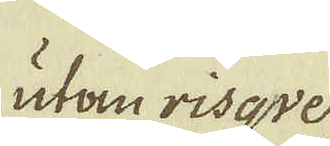utan risqve
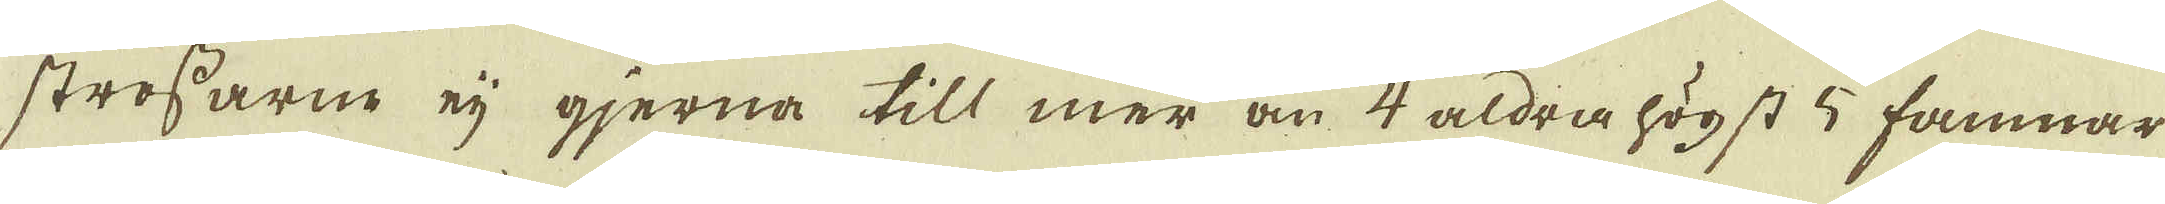strossarne eij gjerna till mer än 4 aldra högst 5 famnar
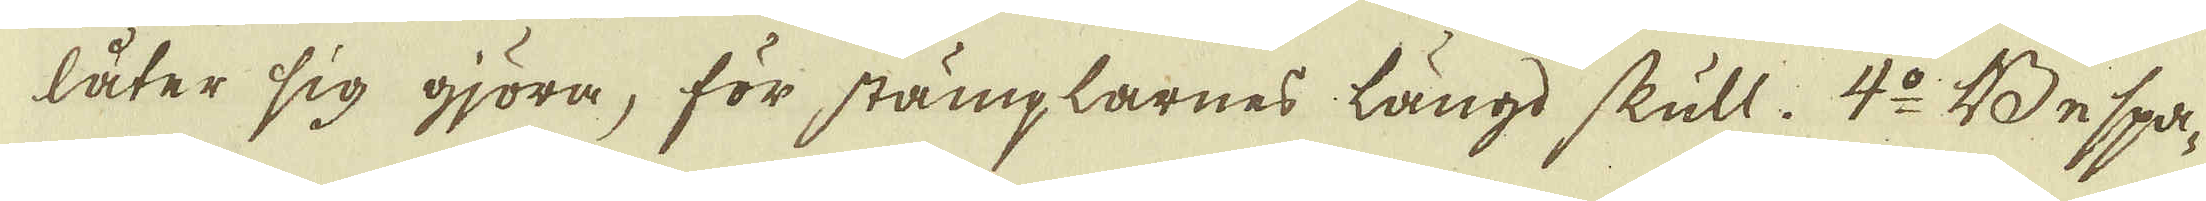låter sig gjöra, för stämplarnes längd skull. 4:o Bespa-
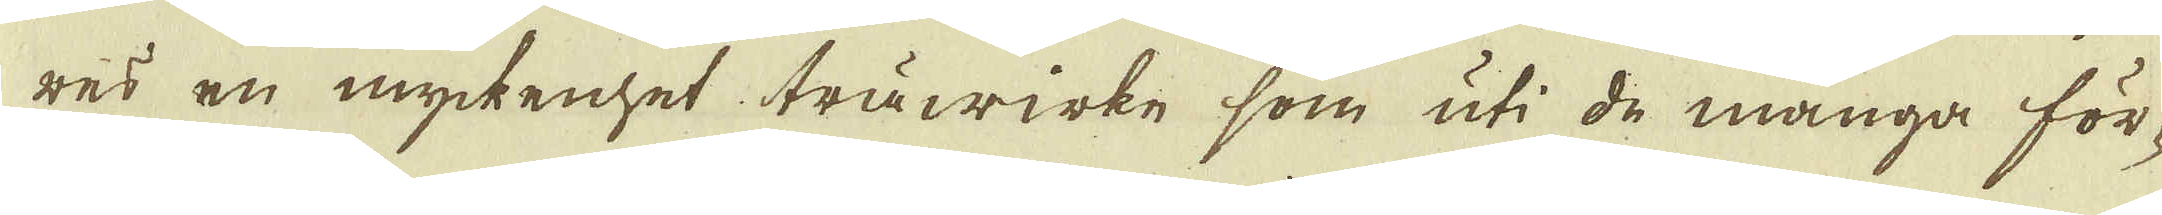res en myckenhet träwirke som uti de många för-
